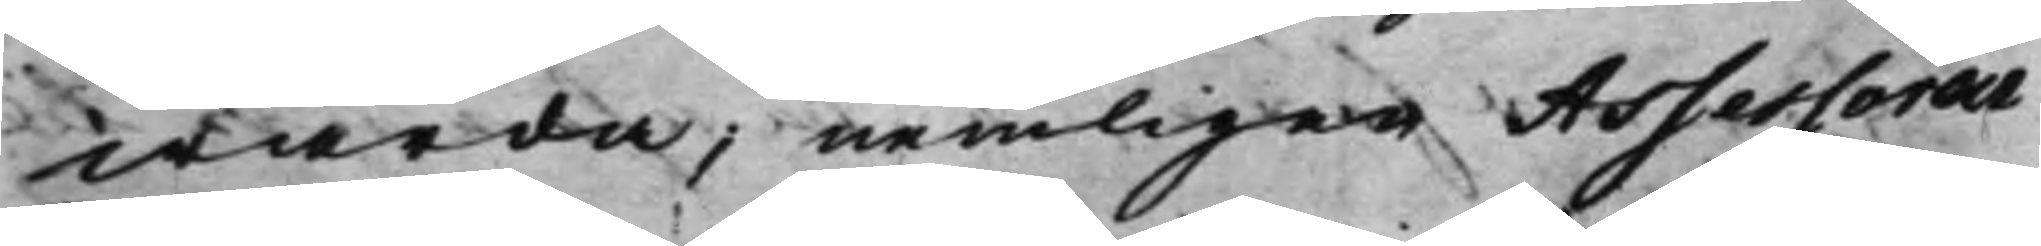warda; nemligen Assessoren
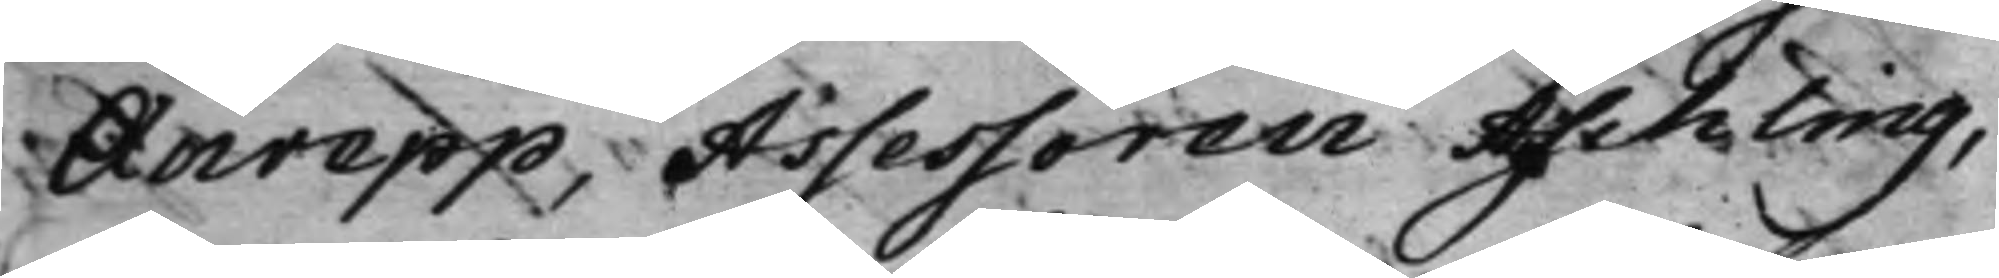Anrep, Assessoren Aschling,
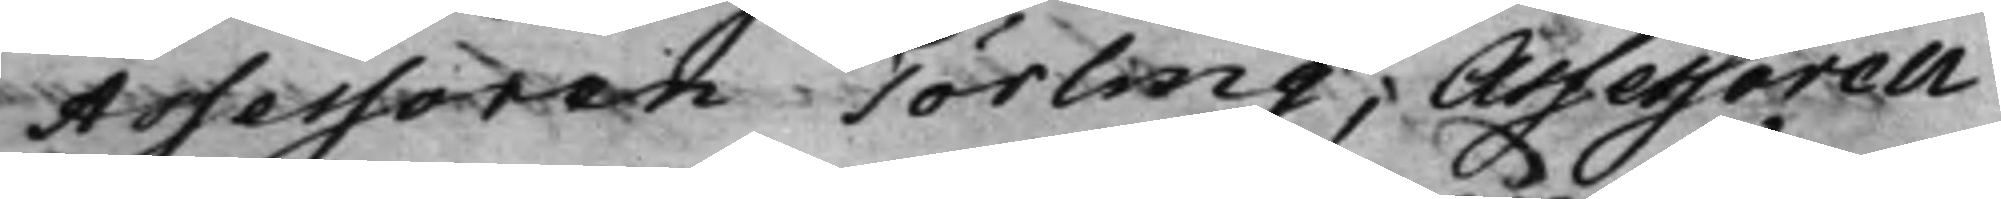Assessoren Törling, Assessoren
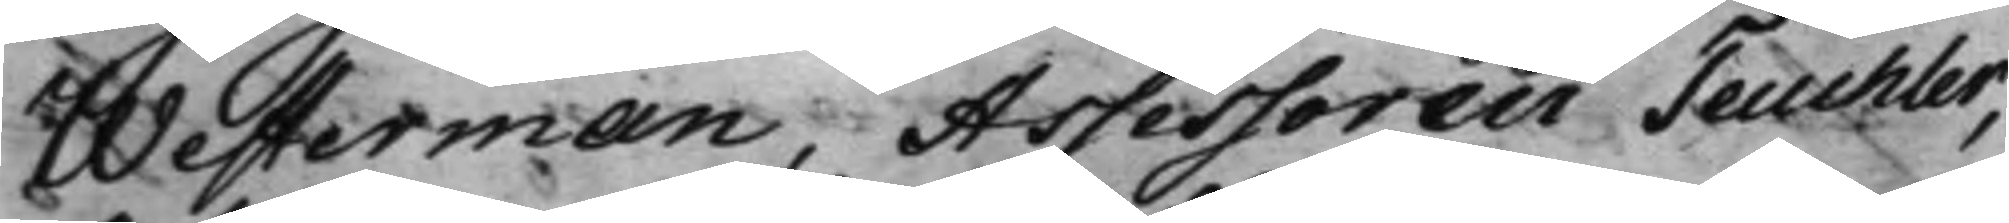Westerman, Assessoren Teuchler,
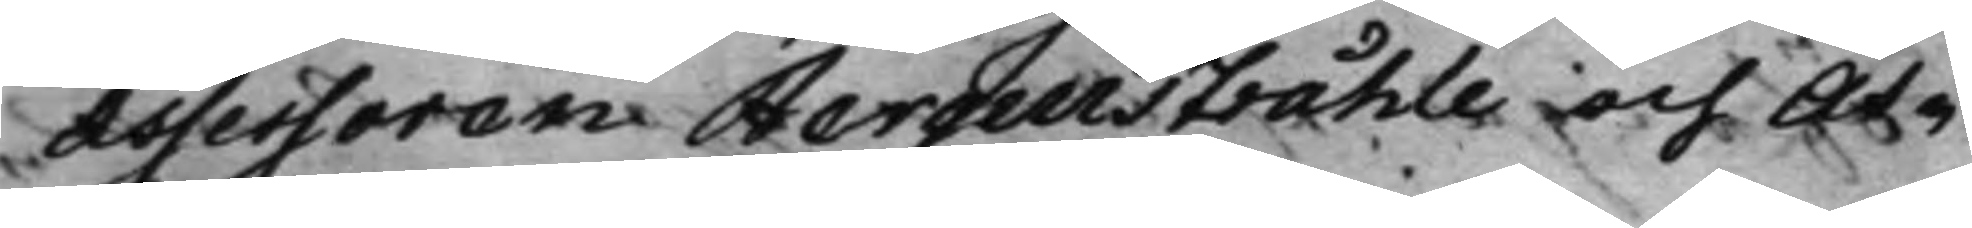Assessoren Bergenstråhle och As¬
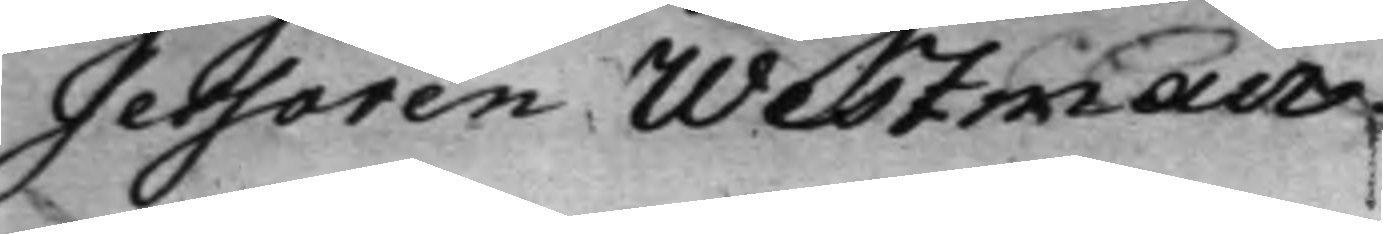sessoren Westman.
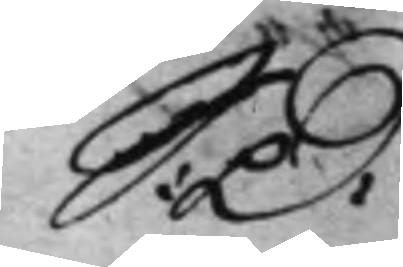S: D: 
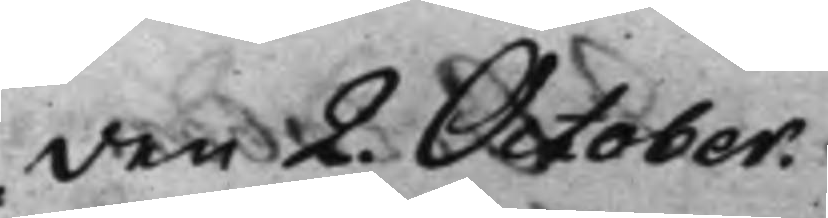den 2. October.
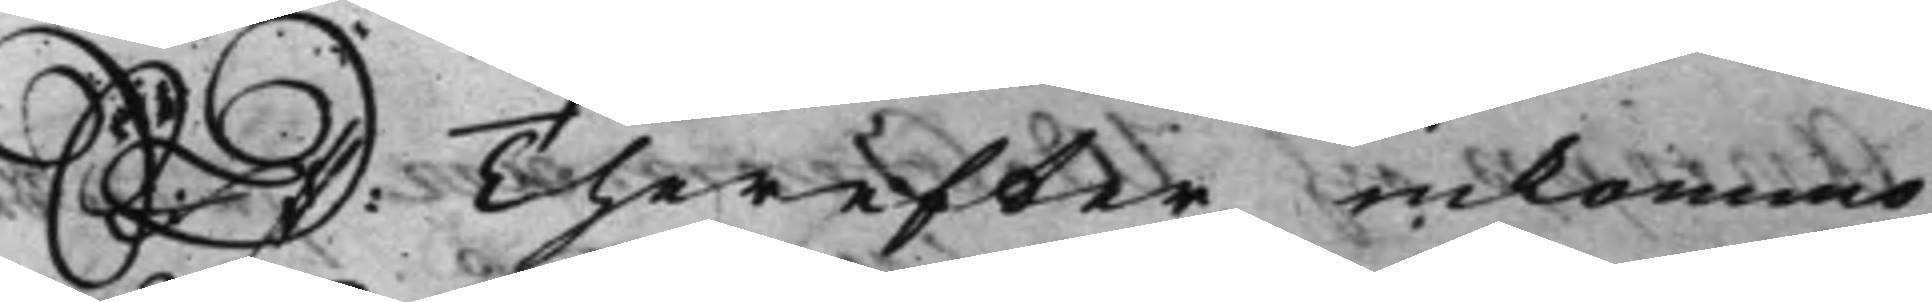S: D: Therefter inkommo 
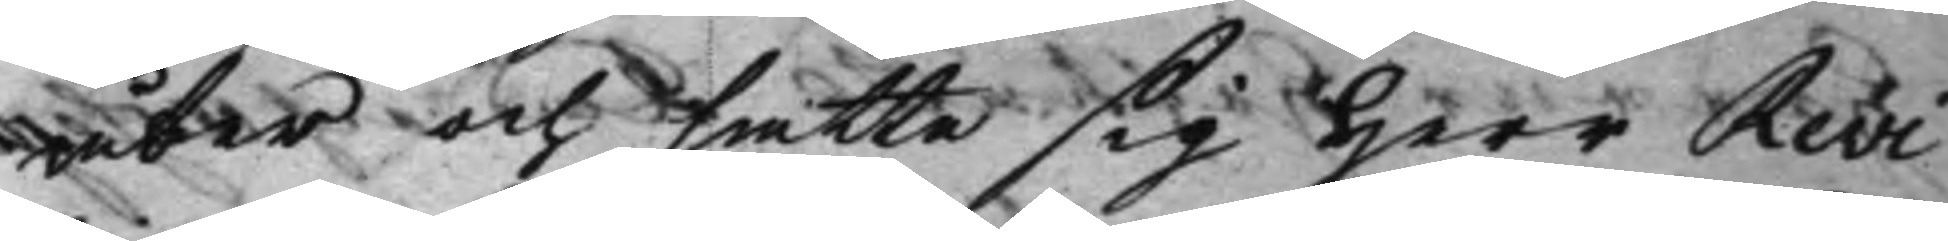åter och satte sig Herr Revi¬
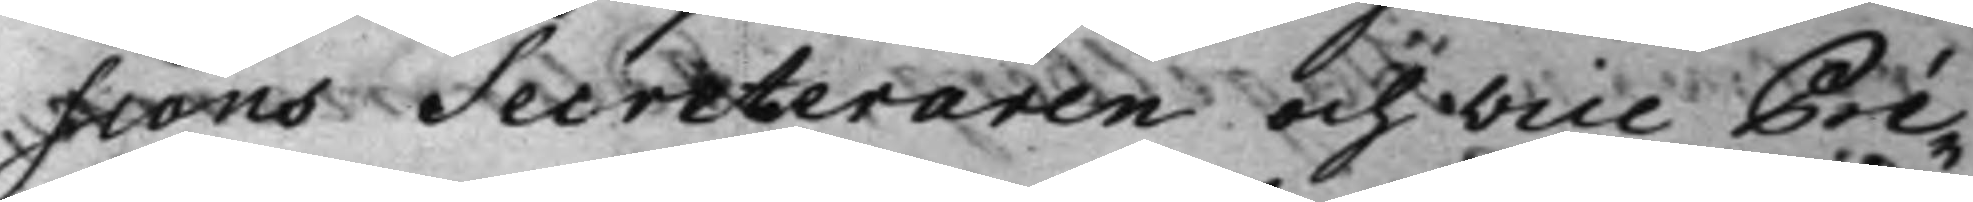sions Secreteraren och Vice Pré¬
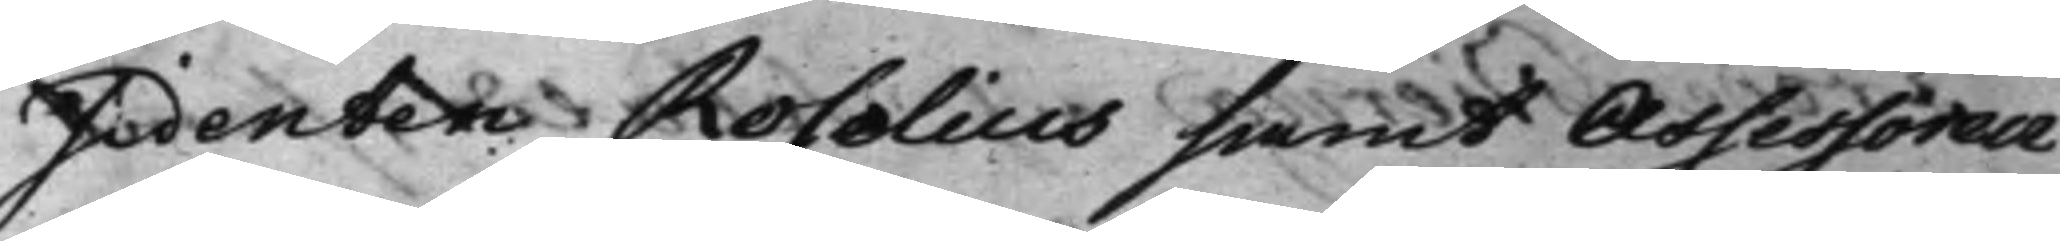sidenten Roselius samt Assessoren
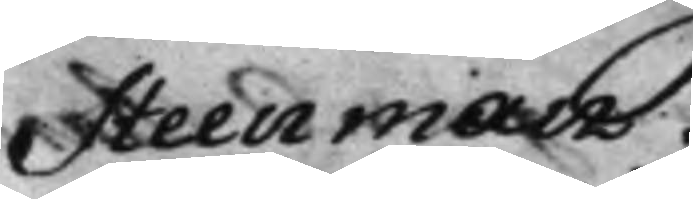Steenman.
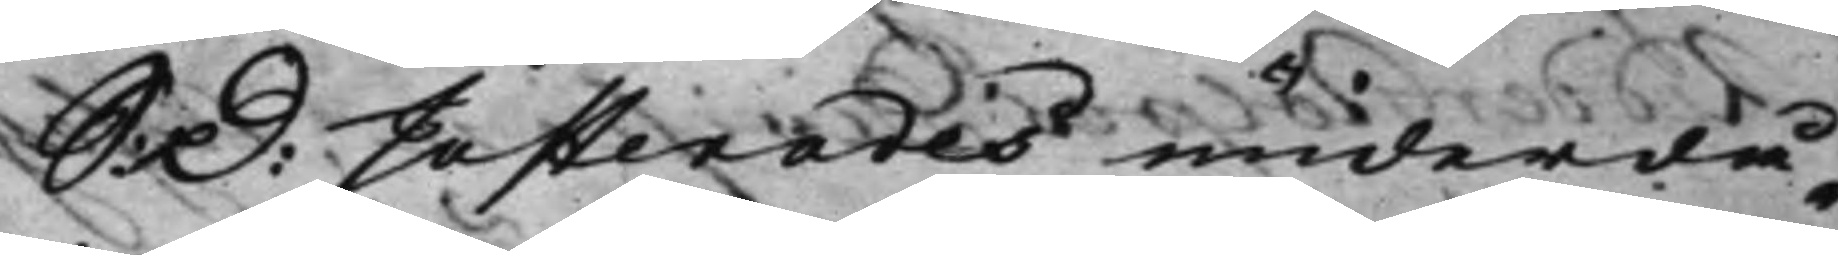S: D: Justerades underdå¬ 
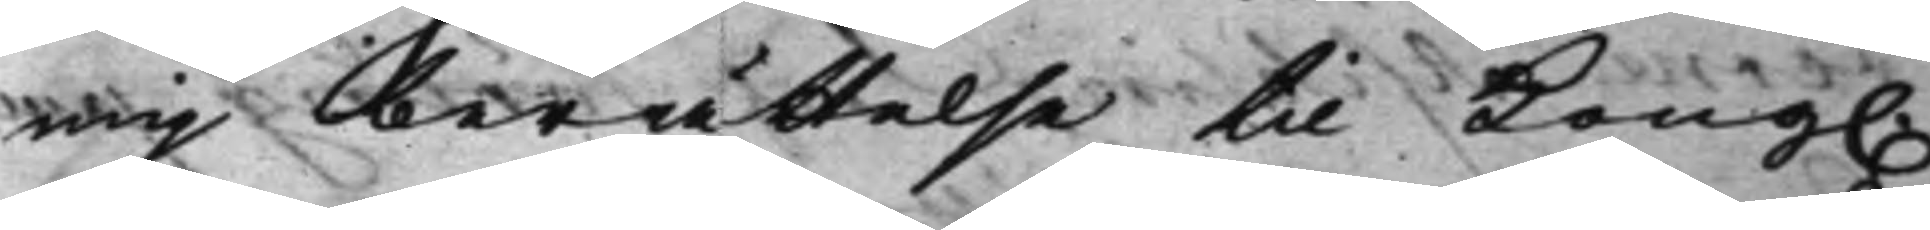nig berättelse til Kong. 
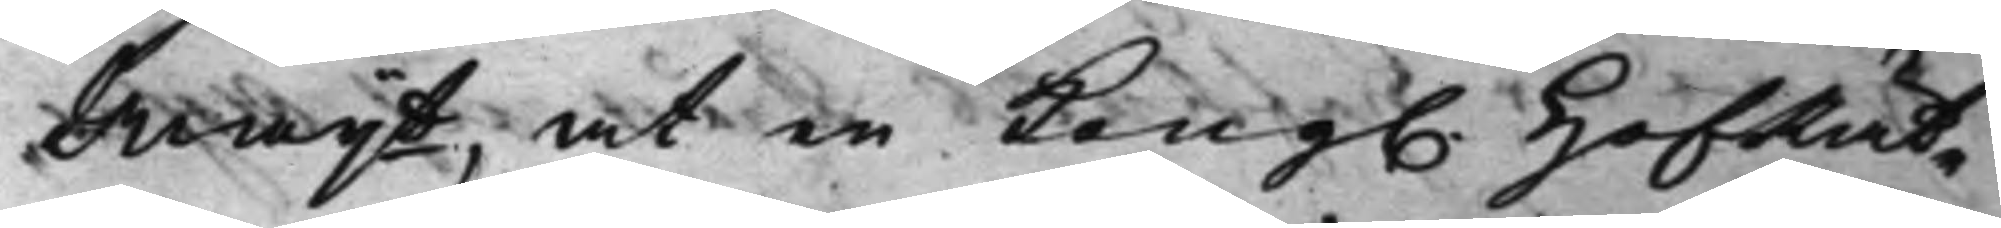Maijt, at en Kong. HofRät¬ 
